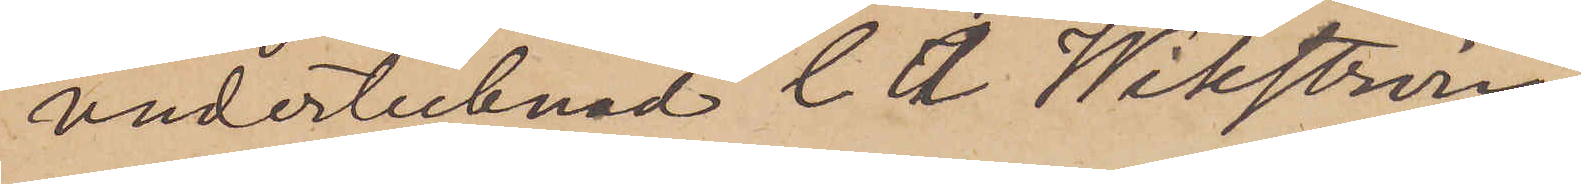undertecknad C. A. Wikström,
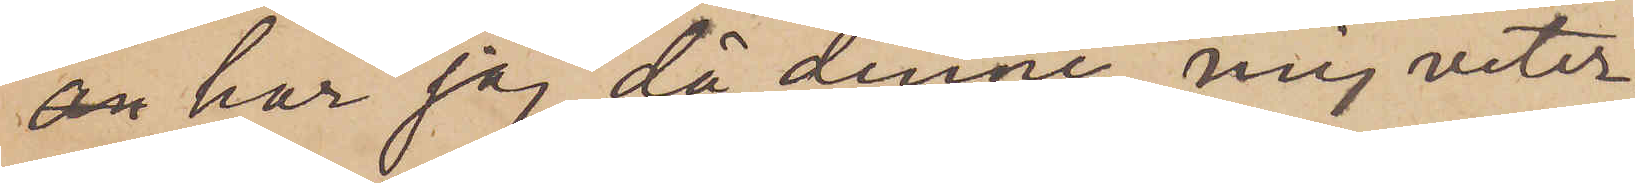 har jag, då denne, mig veter¬
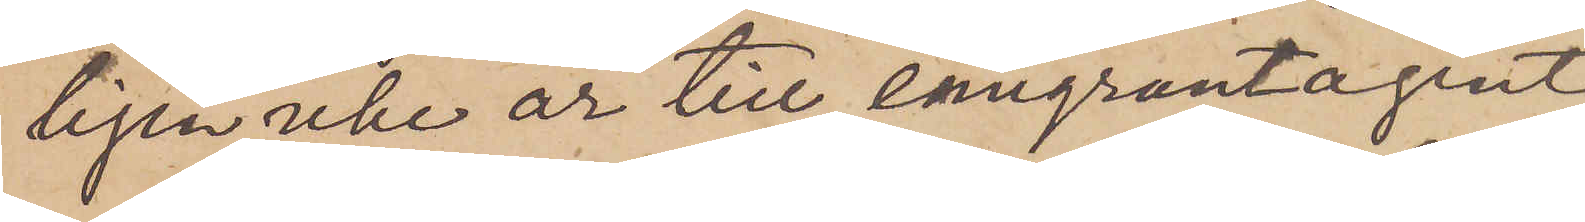ligen,  icke är till emigrantagent
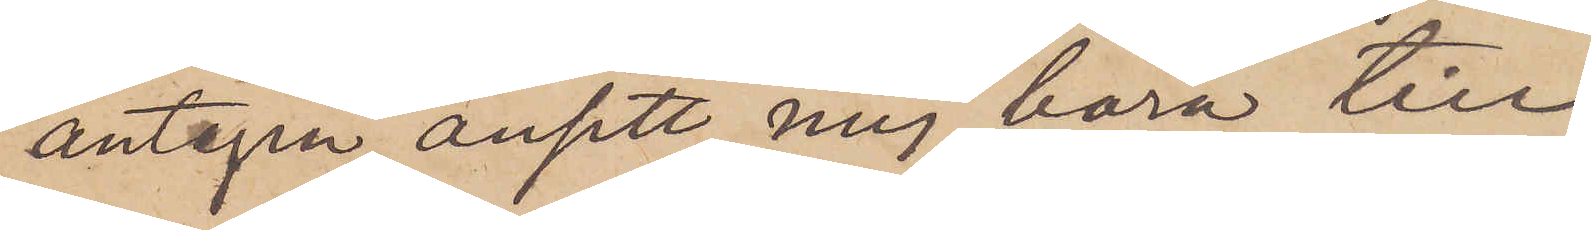antagen, ansett mig böra till
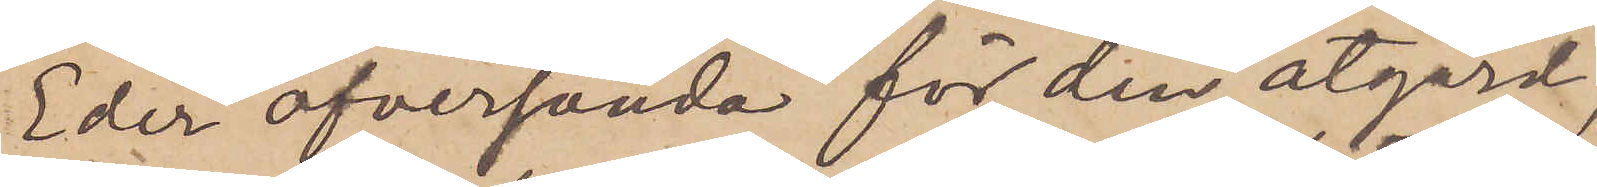Eder öfversända för den åtgärd,
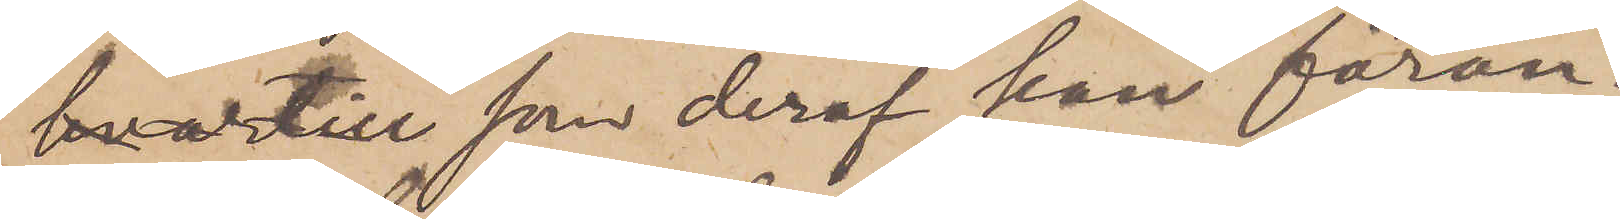som deraf kan föran¬
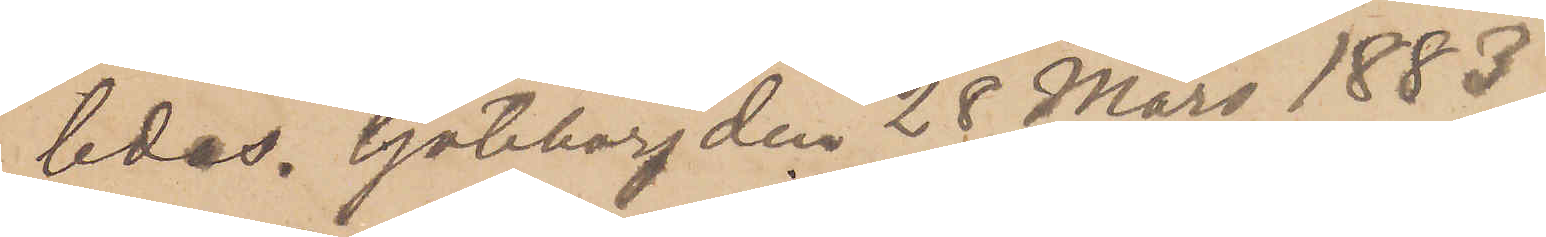ledas. Göteborg den 28 Mars 1883.
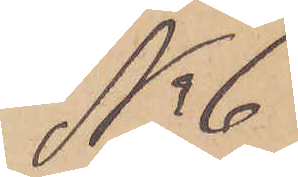No 6
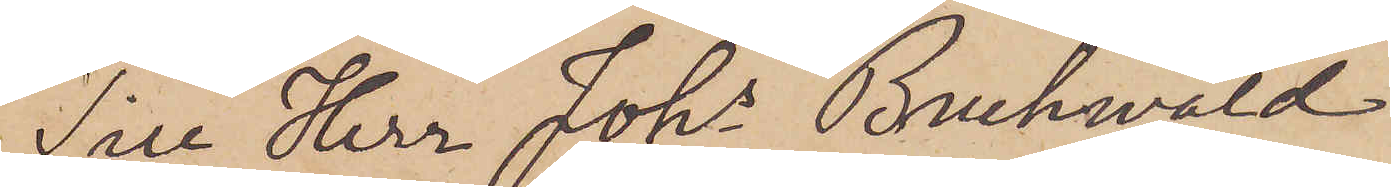Till Herr Johs Brukwald
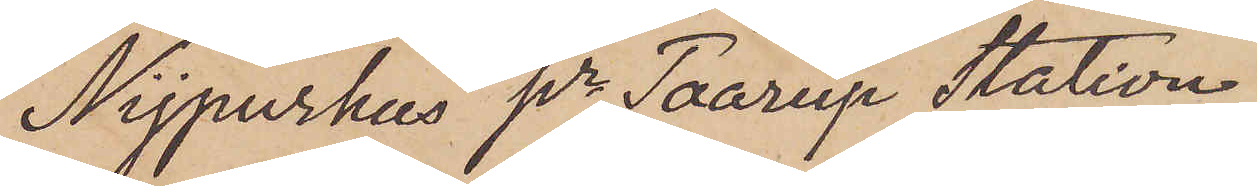Nijpurhus pr Taarup Station.
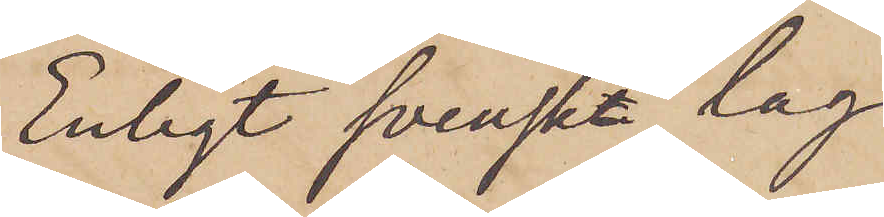Enligt svenst lag
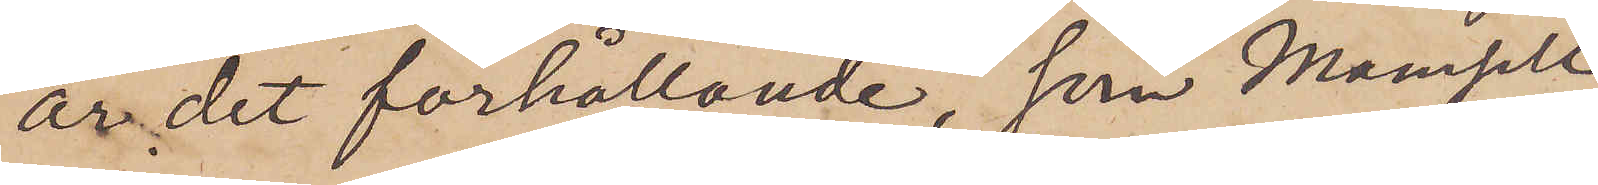är det förhållande, som Mamsell
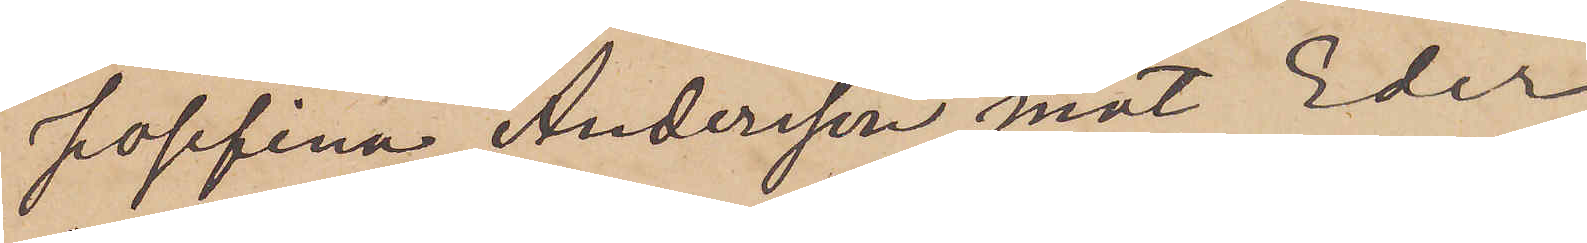Josefina Andersson mot Eder
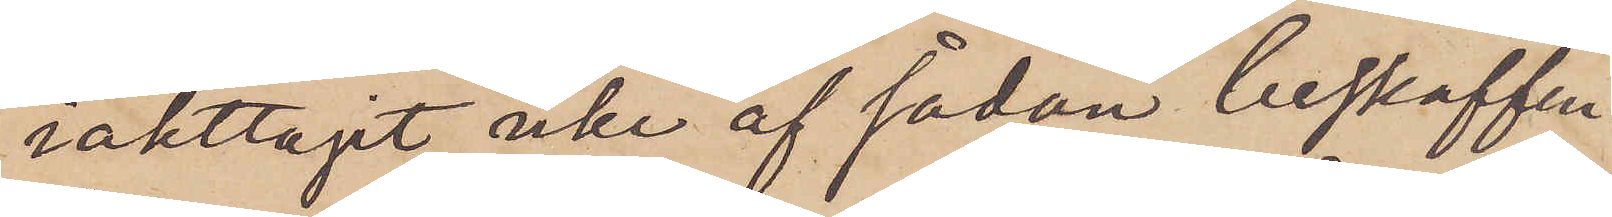iakttagit, icke af sådan beskaffen¬
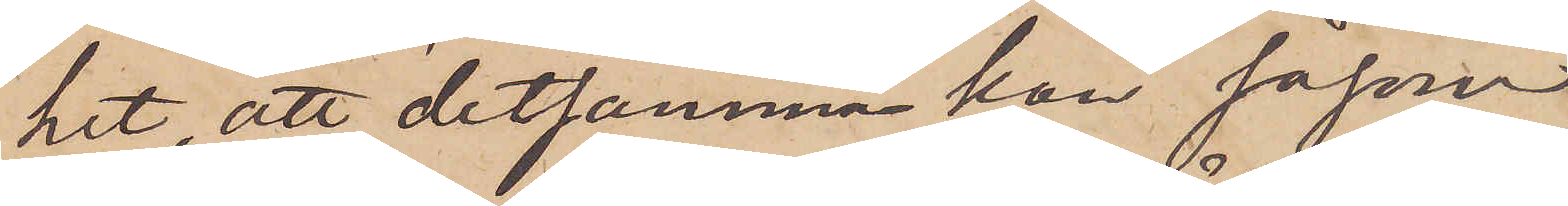het, att detsamma kan såsom
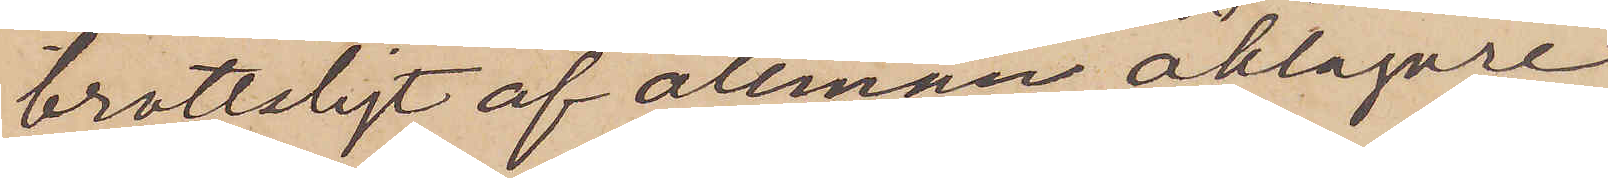brottsligt af allmän åklagare
